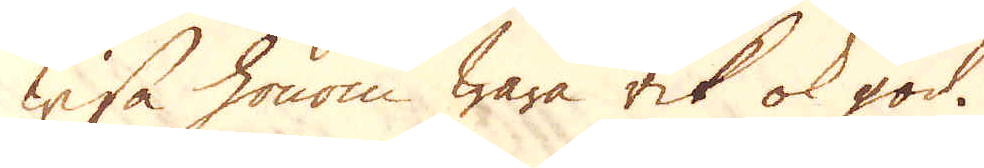wisa honom wara rik ok god.
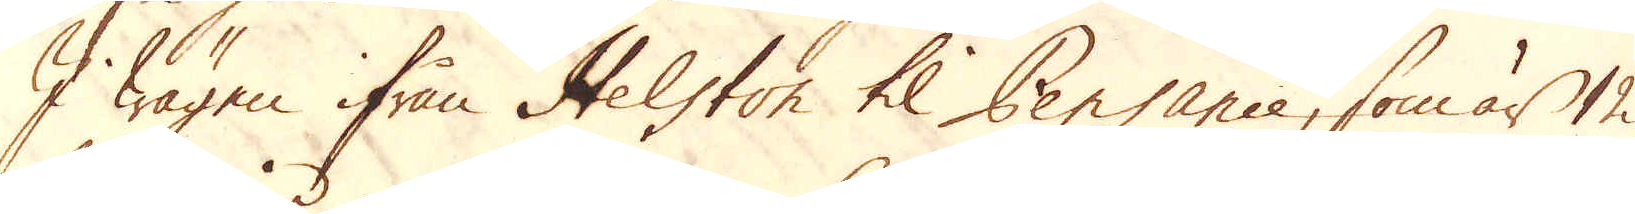I wägen ifrån Helston til Pensance, som är 12
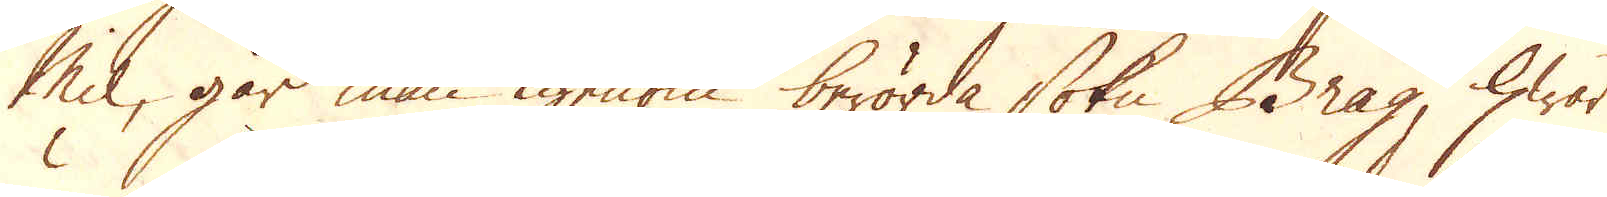mill, går man igenom berörda sokn Brag, hwar
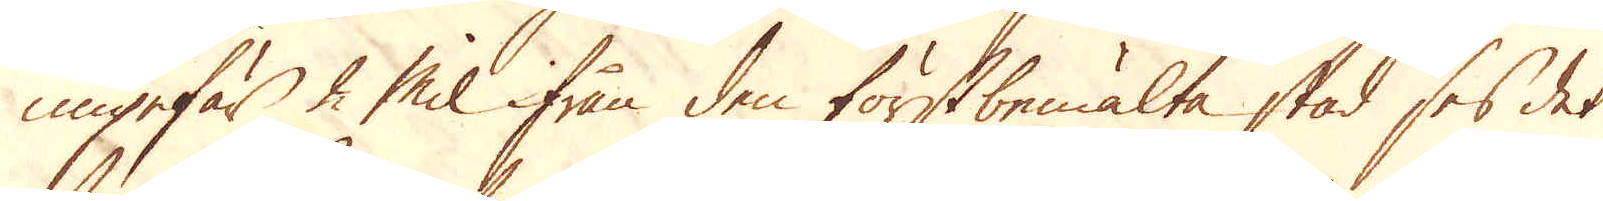ungefär 2 Mil ifrån den förstbemälte stad ses det
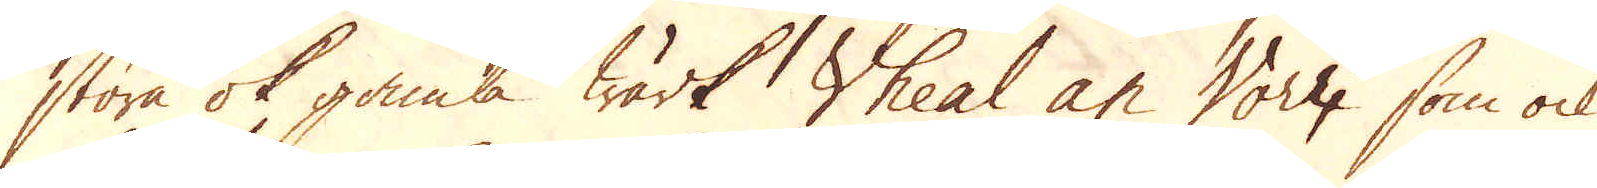stora ok gamla Wärk Wheal an Worr, som ock
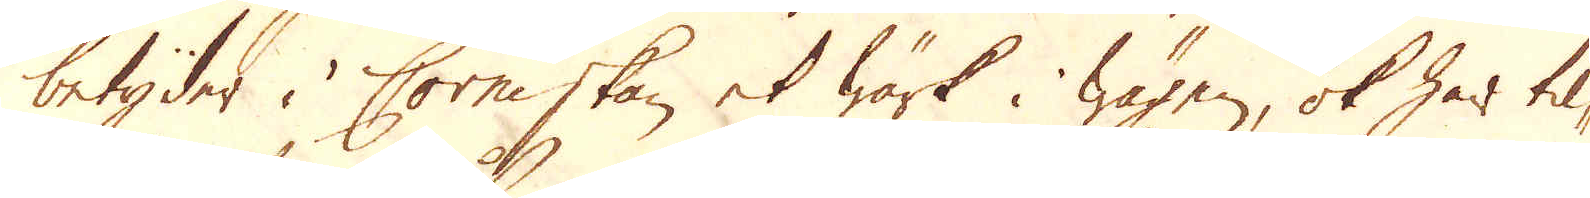betyder i Corniskan et wärk i wägen, ok har til-
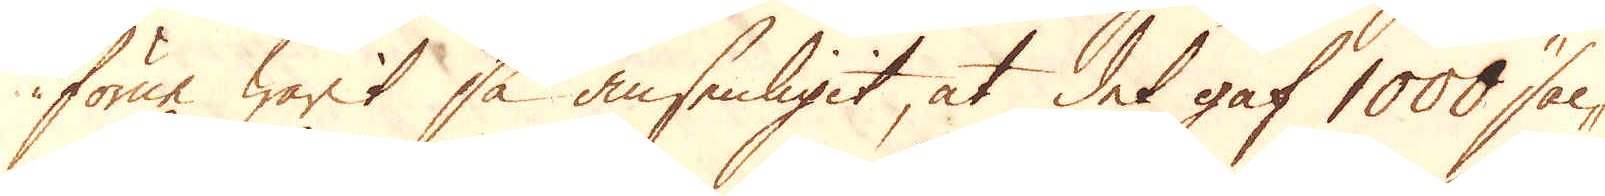förne warit så ansenligit, at det gaf 1000 säc-
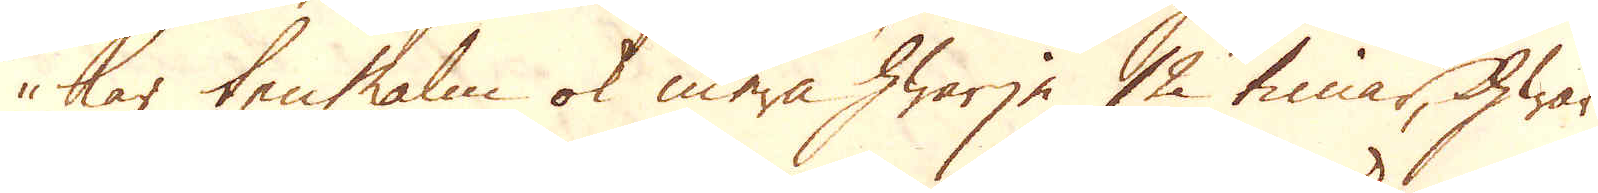kar ten malm ok mera hwarje 12 timar, hwar
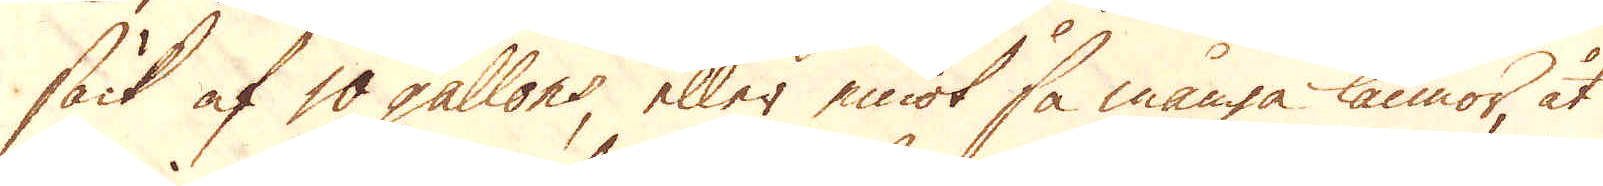säck af 10 gallons eller emot så många kannor, åt
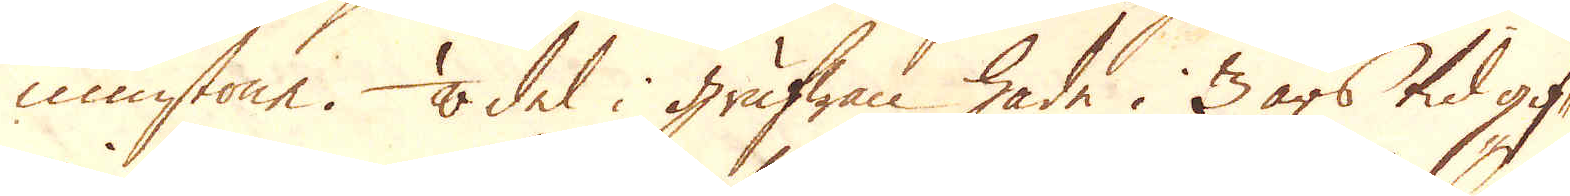minstone. 1/8 del i grufwan hade i 3 års tid gif-
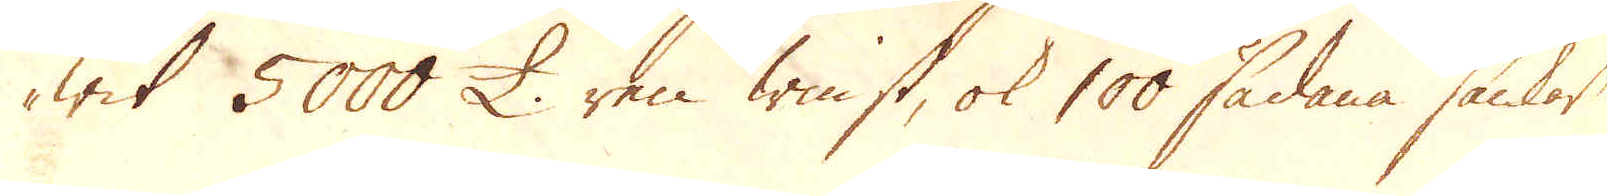wit 5000 £ ren winst, ok 100 sådana säckar
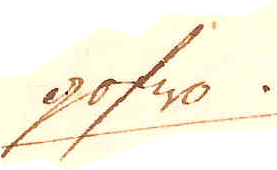gofwa
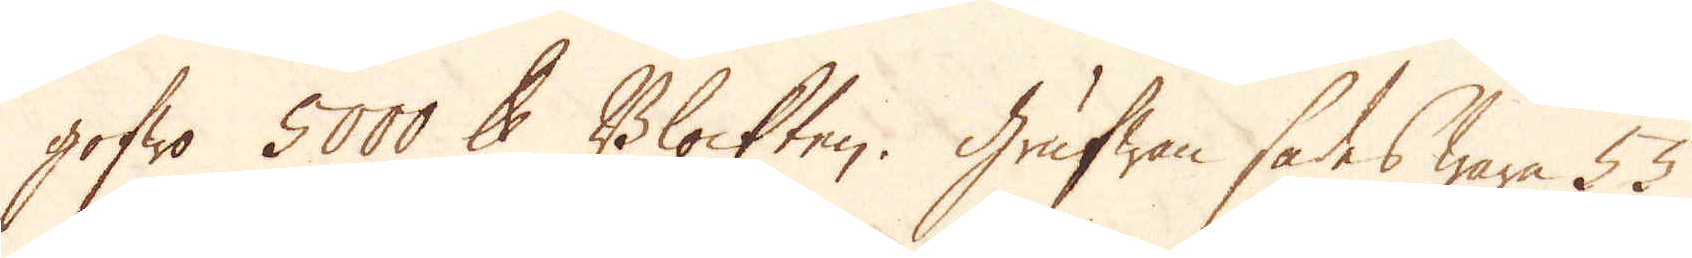gofwo 5000 skålpund Blockten. Grufwan sades wara 55
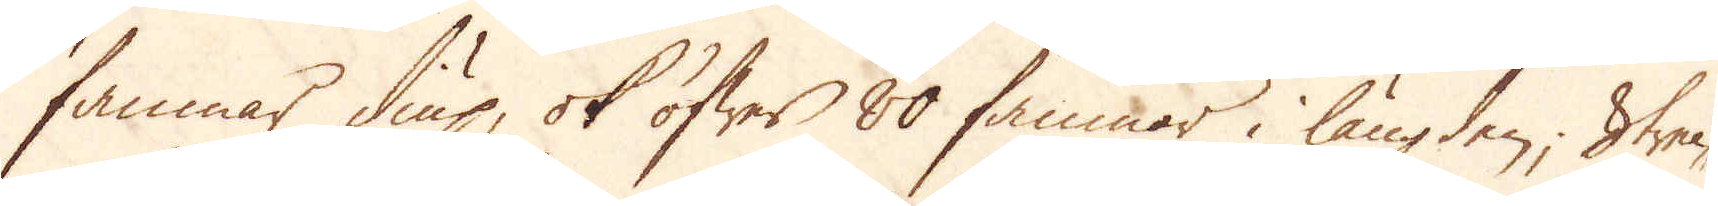famnar diup, ok öfwer 80 famnar i längden; Strec-
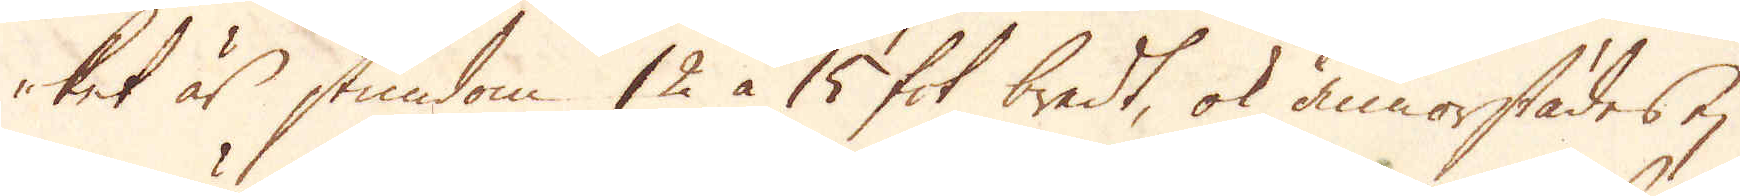ket är stundom 12 à 15 fot bredt, ok annorstädes ej
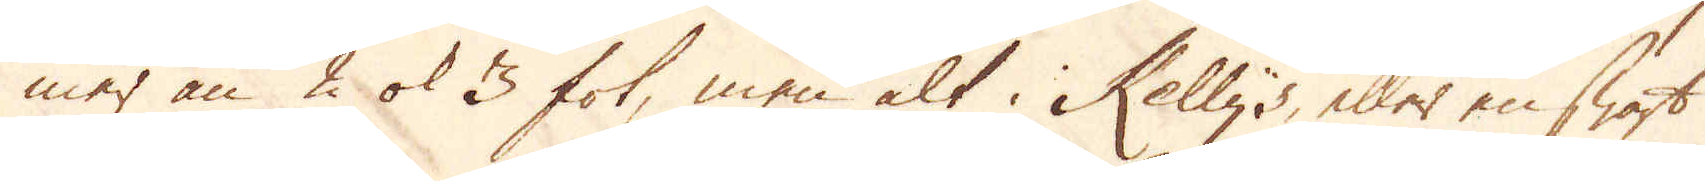mer än 2 ok 3 fot, men alt i Kellys, eller en swart
